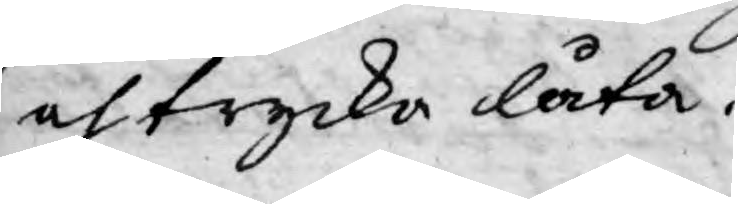och trycko låta.
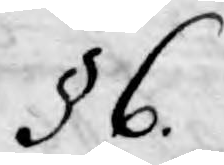§ 6.
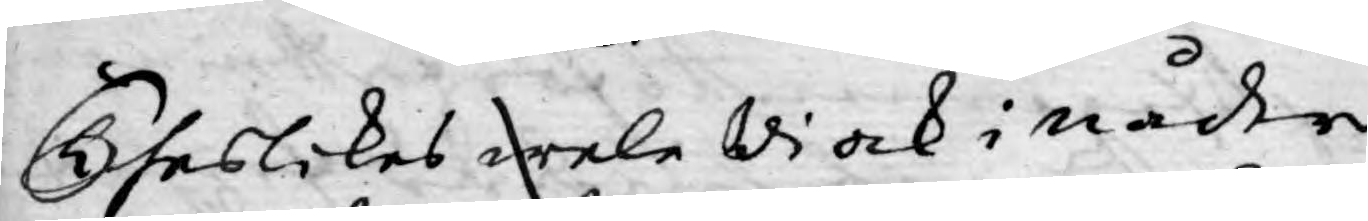Theslikes wele Wi ock i nåder
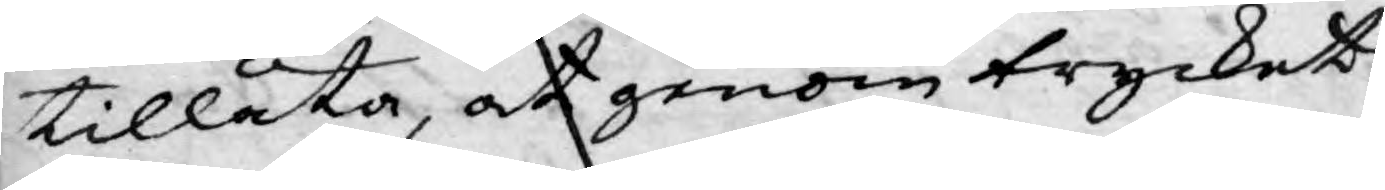tillåta, at genom trycket
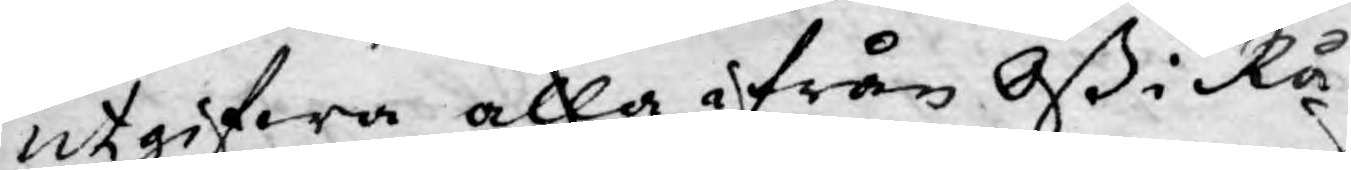utgifwa alla ifrån Oß i Rå¬
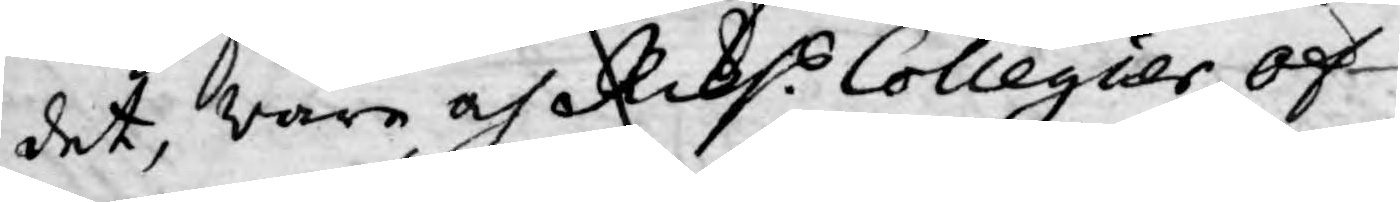det, Wåre och Riks.s Collegier öf¬
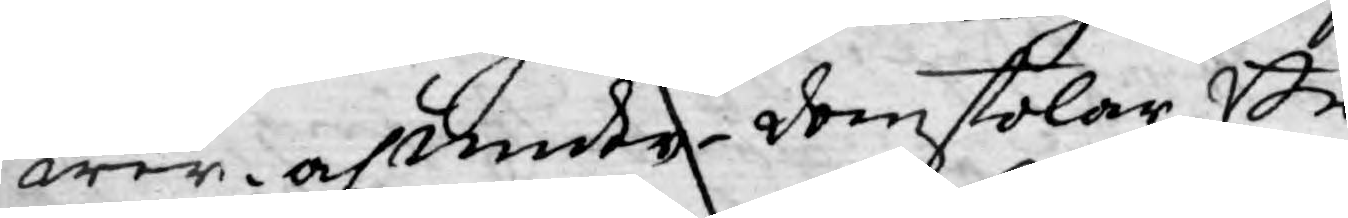wer- och under-domstolar Be¬
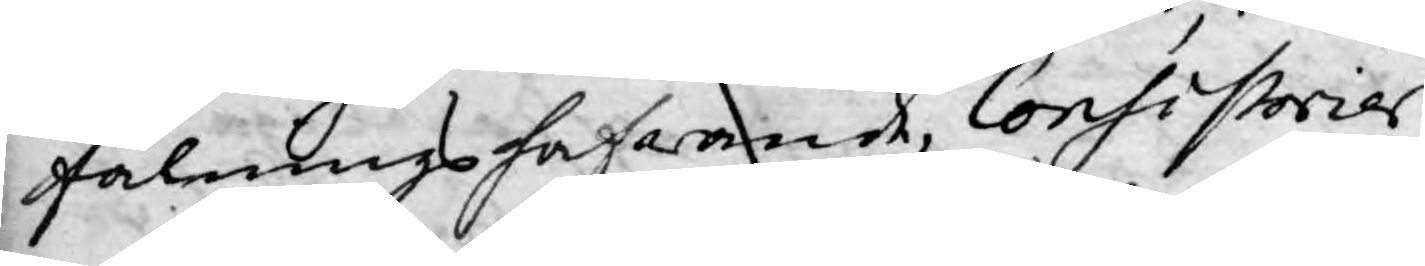falningshafwande, Consistorier
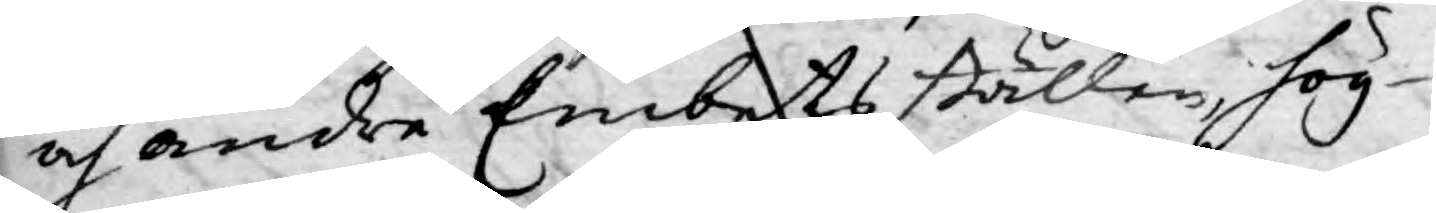och andre Embets ställen, hög¬
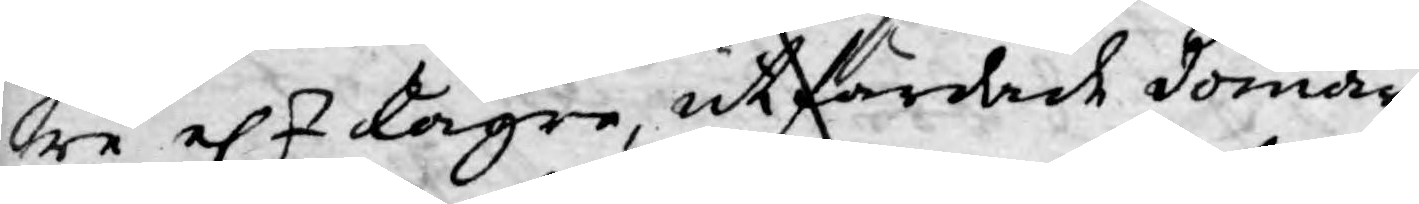re elr lägre, utfärdade domar,
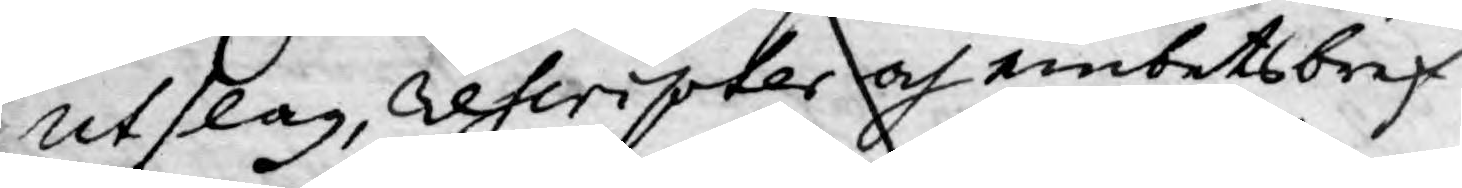utslag, rescripter och embetsbref
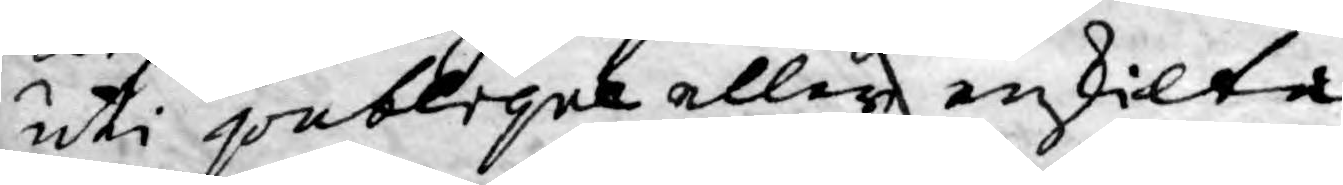uti publique eller enskilta
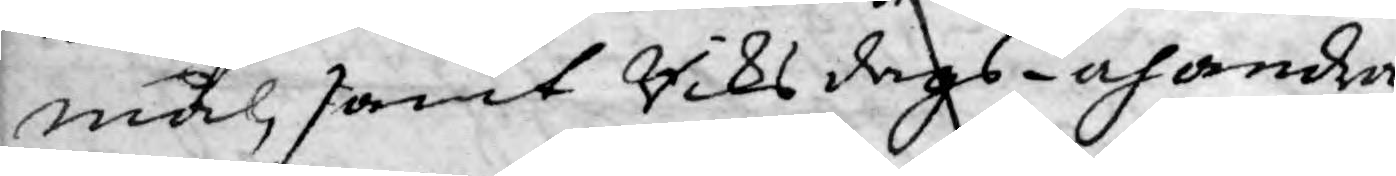mål samt Riksdags- och andra
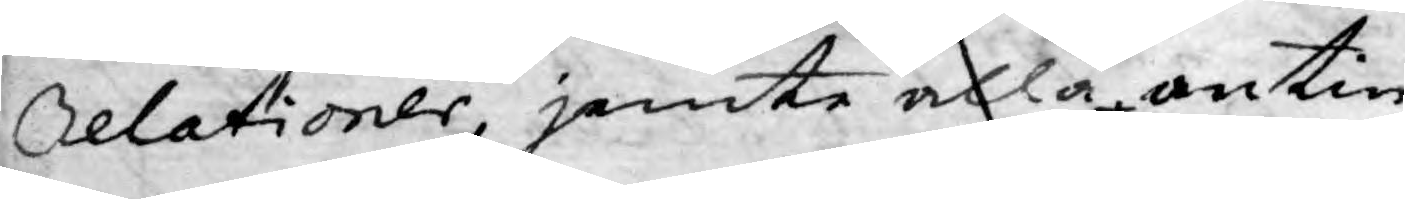Relationer, jemte alla, antin¬
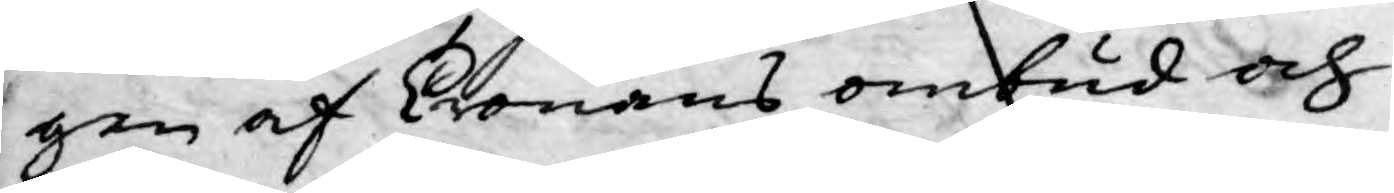gen af Cronans ombud och
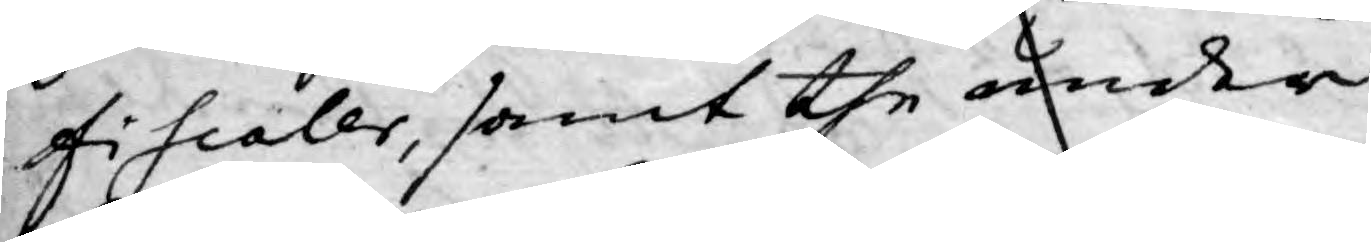fiscaler, samt the under
